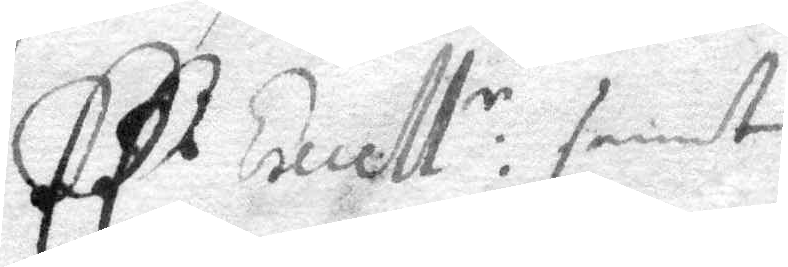Ed Excell:r tienst
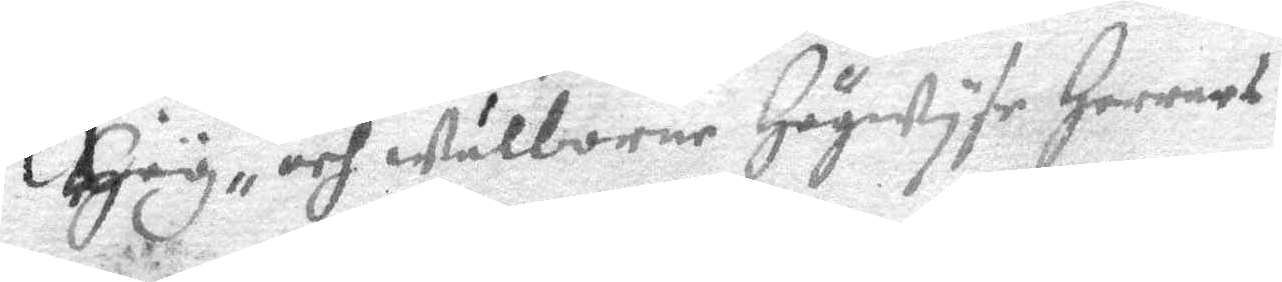Hög- och wälborne Högwyse Herrar
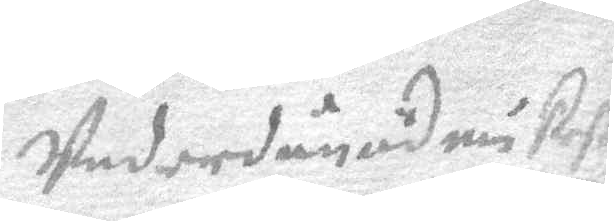Underdånödmiukeste
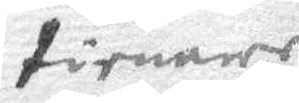tienare
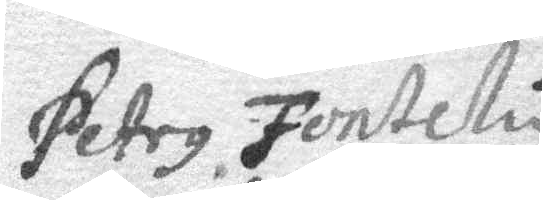Petrus Fonteliy
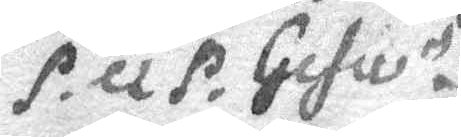P. Q. P. Gefle
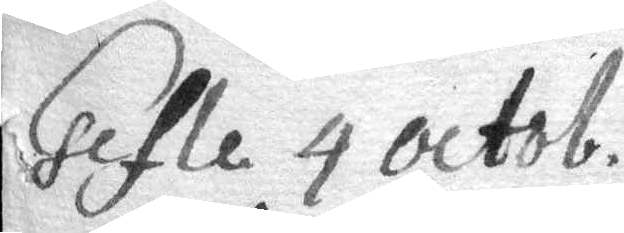Gefle 4 octob.
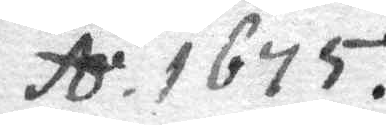A.o 1675
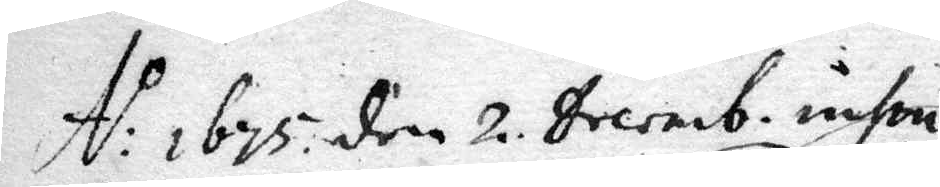A:o 1678 den 2 Decemb: insin.
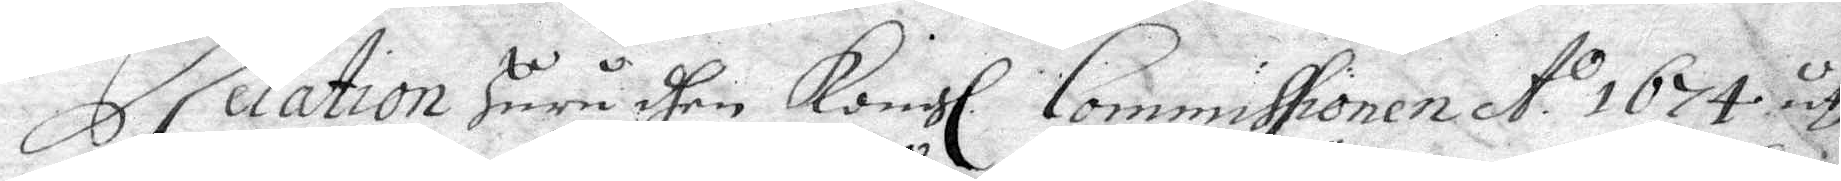Relation huru dhen Kongl. Commissionen A:o 1674 uth¬
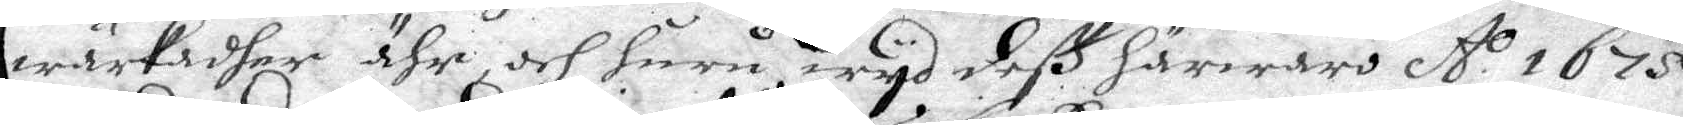wärkadher ähr och huru wyd deß härwaro A:o 1675
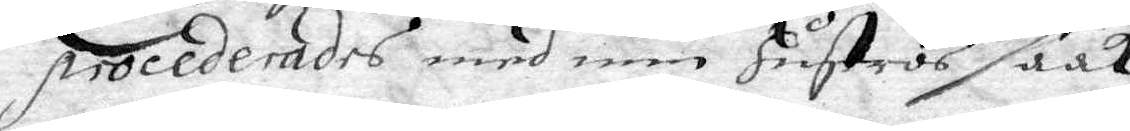Procederades med min Hustrus saak.
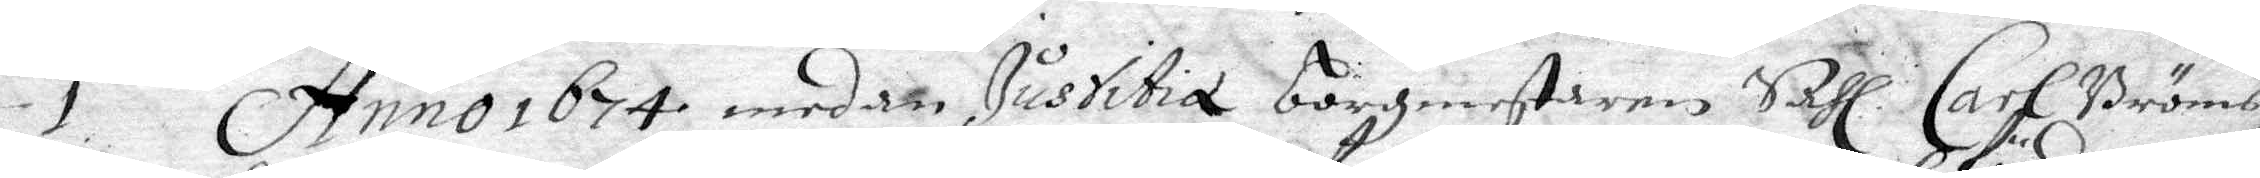I. Anno 1675 medan Justitie borgmestaren Sahl. Carl Bröms,
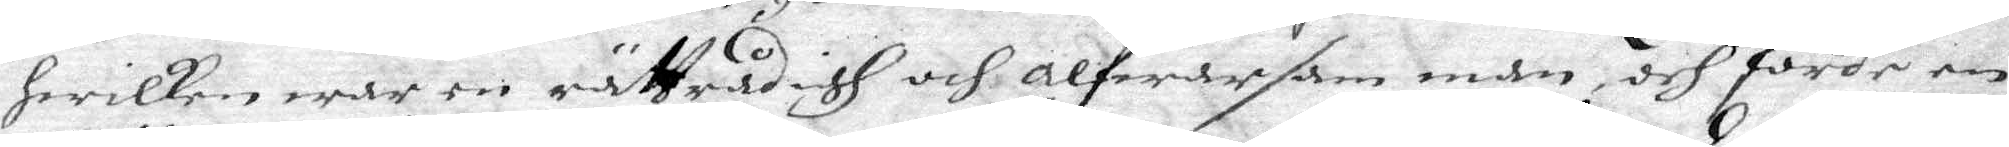hwilken war en rättrådigh och alfwarsam man, och förde en
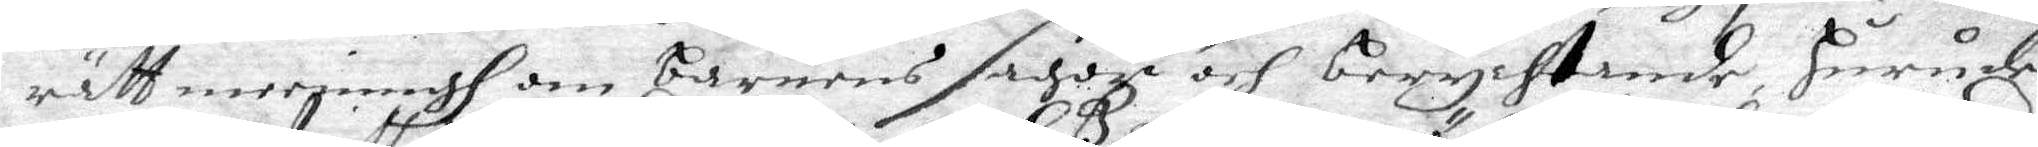rätt merjningh om barnens sagde och berychtande, huru de
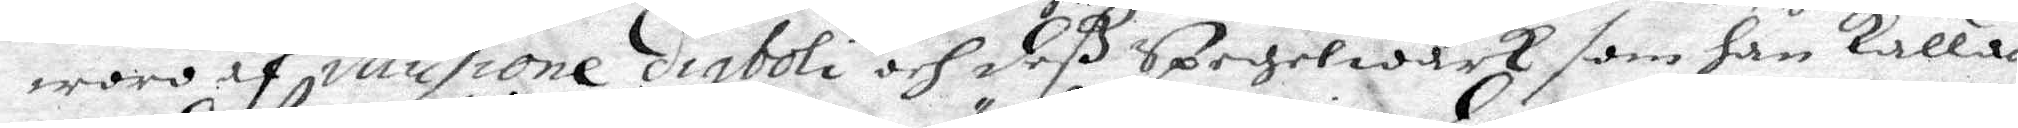woro af illusione diaboli och deß Spegelwärk, som han kallade
